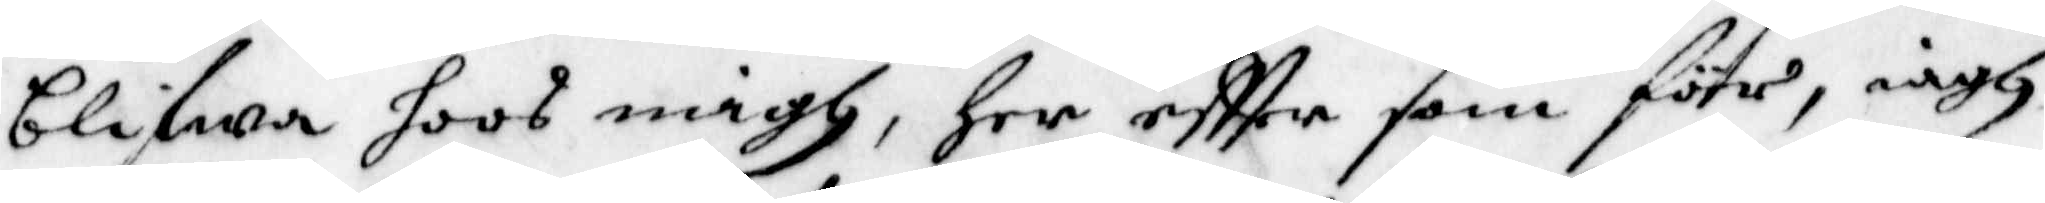blifwa hoos migh, her eftter som förr, iagh
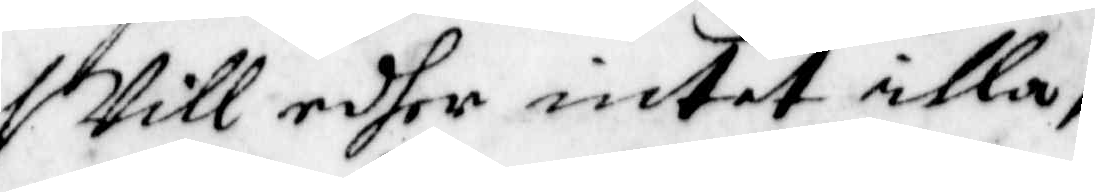Will edher intet illa; 
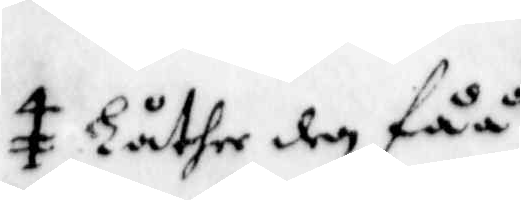Låther den fåå
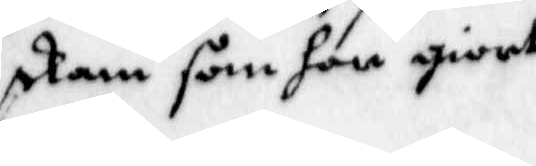skam som hon giort
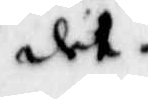det.
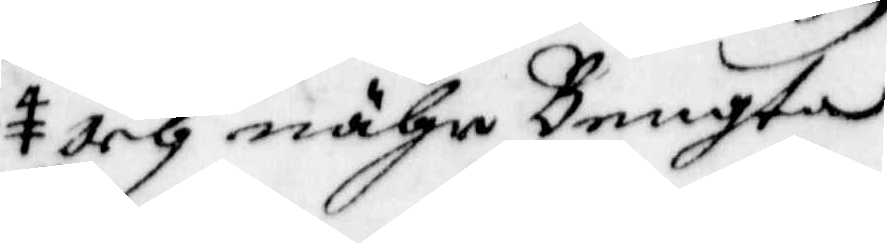Och nähr Bengta
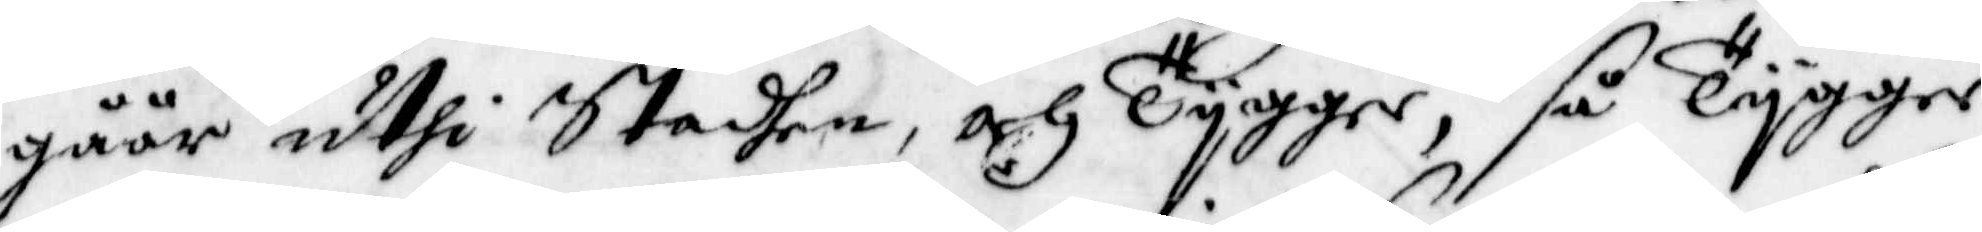gåår uthi Staden, och Tygger, så Tygger
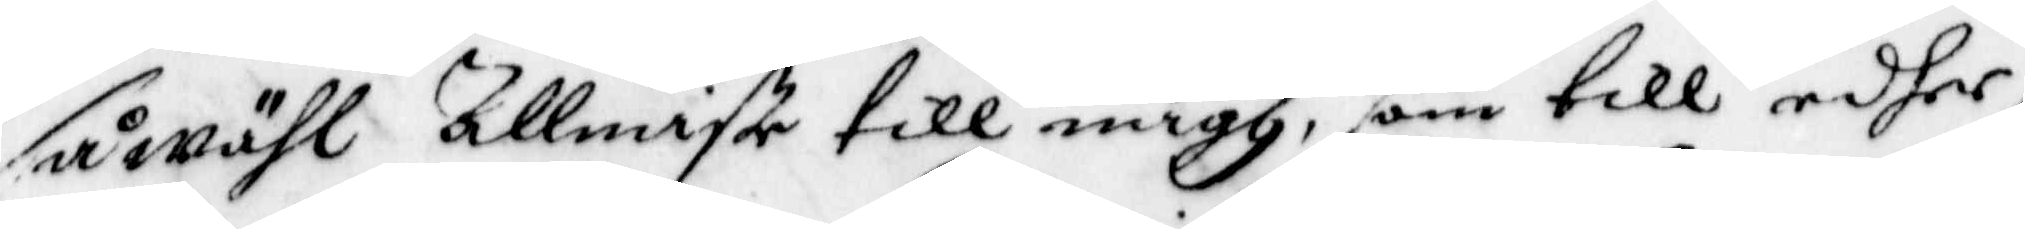så wähl Allmiste till migh, som till edher,
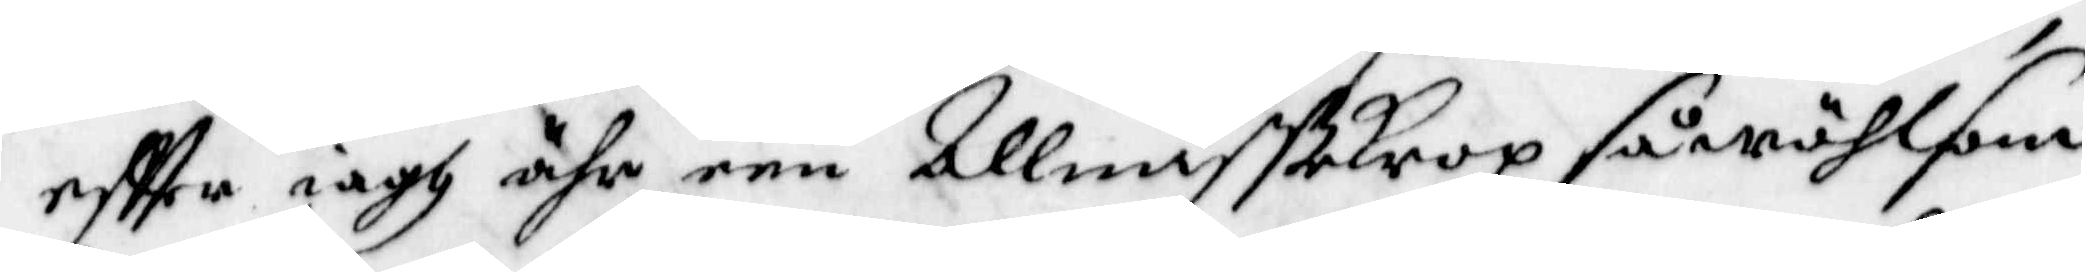effter iagh ähr een Allmistekrop så wähl som
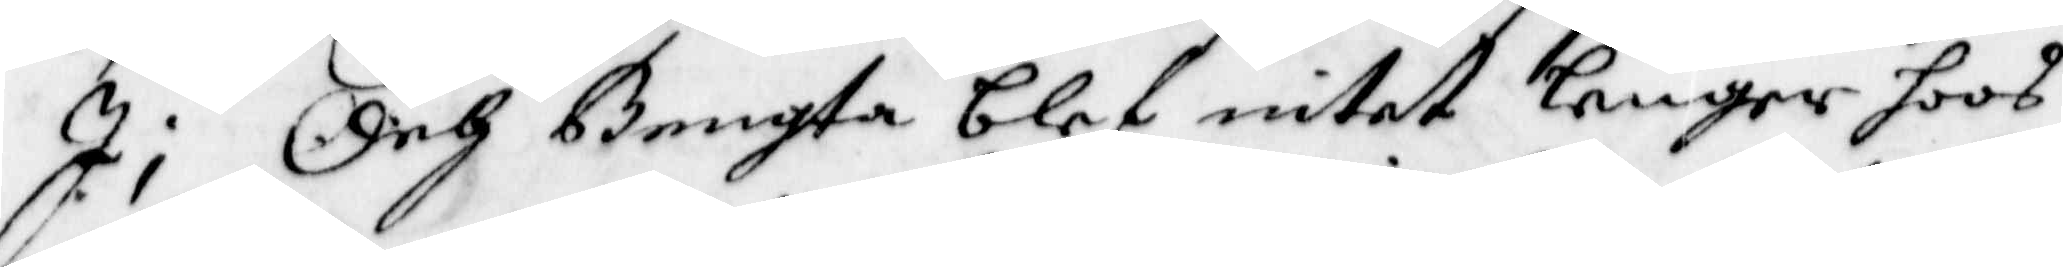I; Och Bengta blef intet lenger hoos
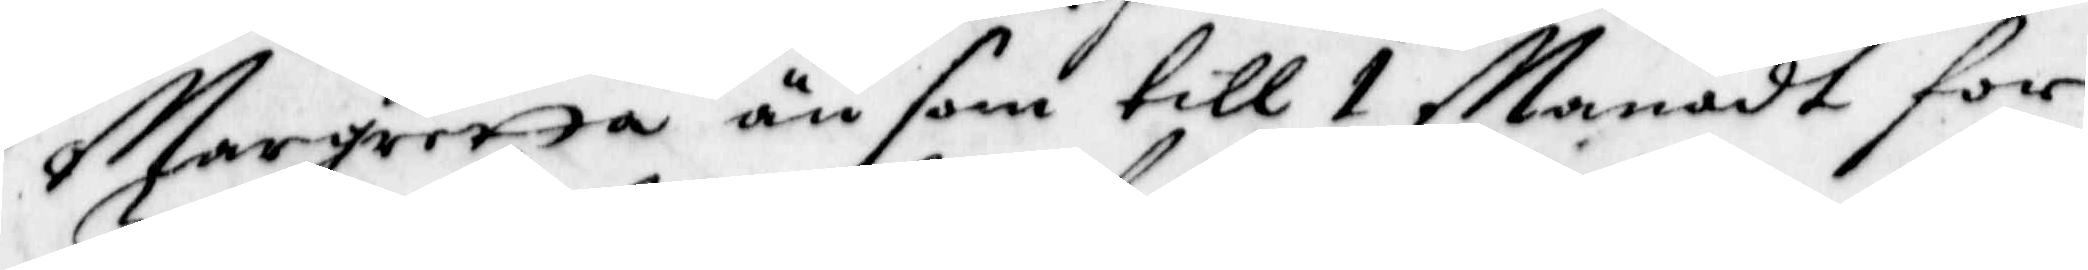Margretta än som till 1 Manadt for
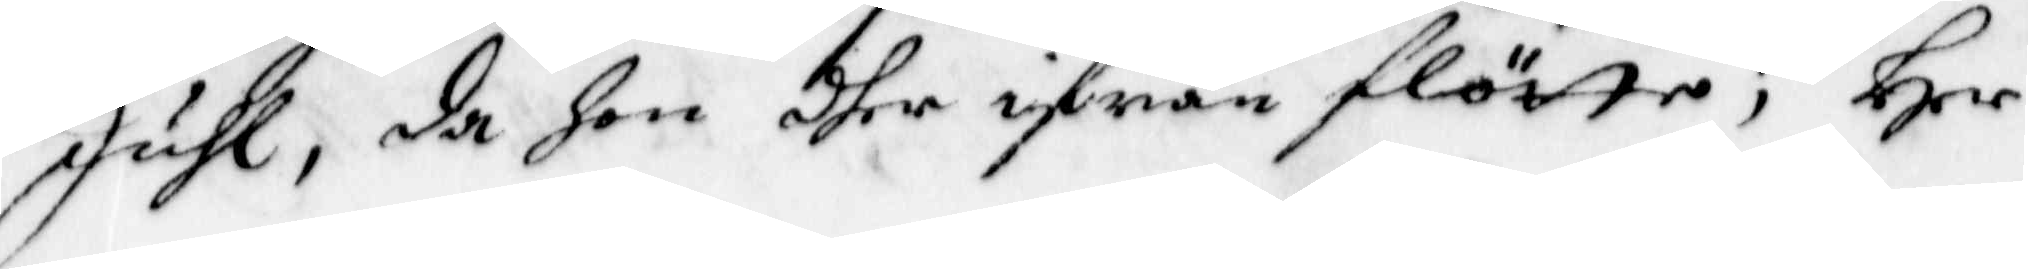Juhl, då hon dher ifrån flötte, Her
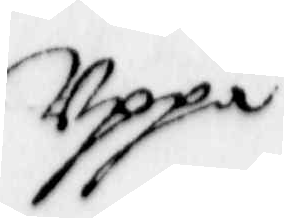Uppå
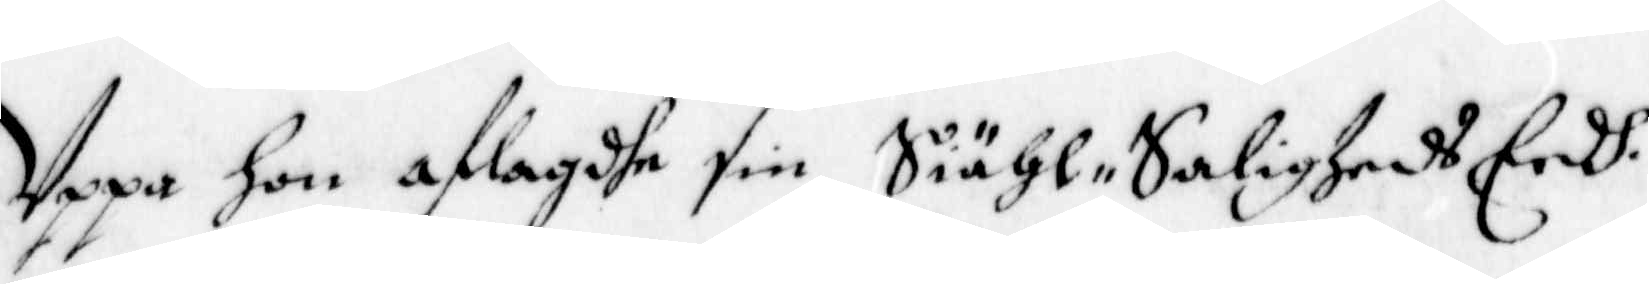Uppa hon aflagdhe sin Siähl Saligheds Eedh.
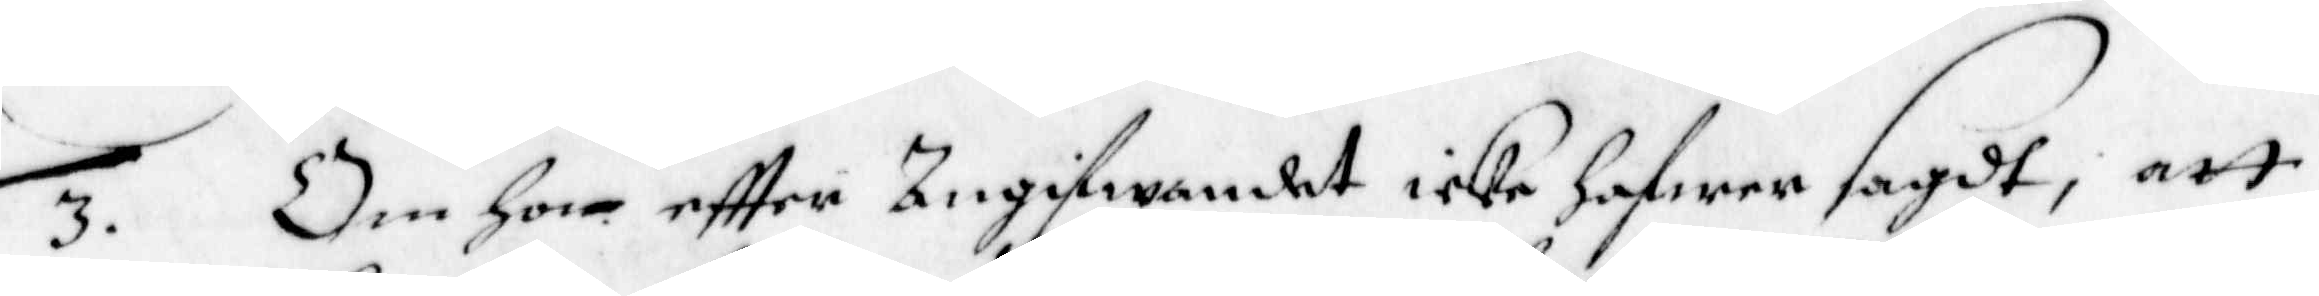3. Om Hon eftter Angifwandet icke hafwer sagdt, att
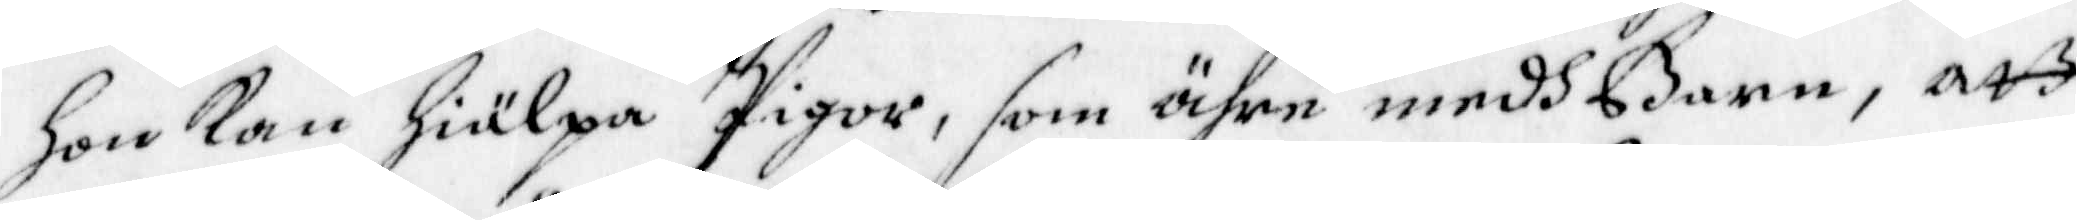hon kan hiälpa Pigor, som ähre medh Barn, att
